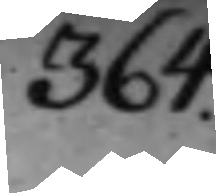364.
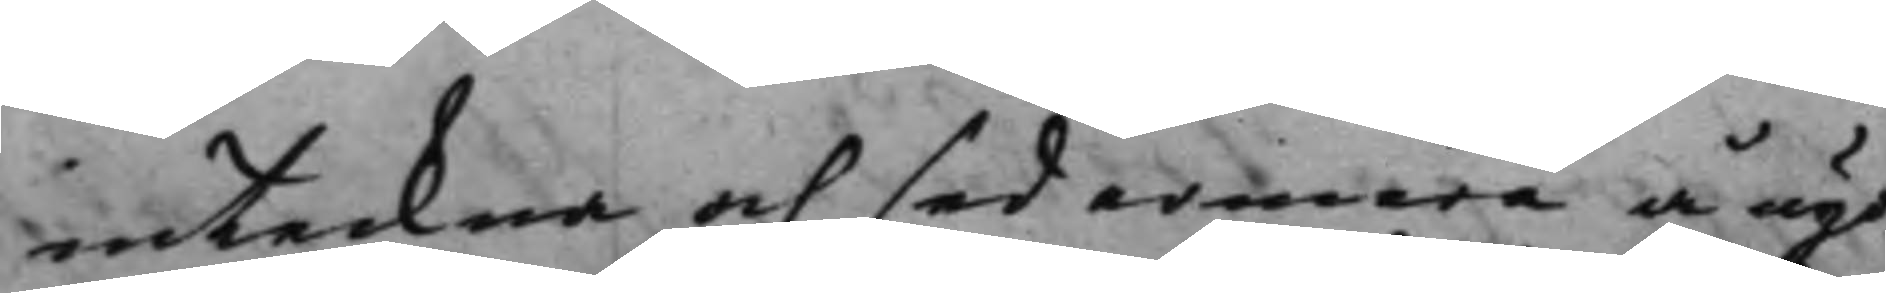inteckna och sedermera å ägo
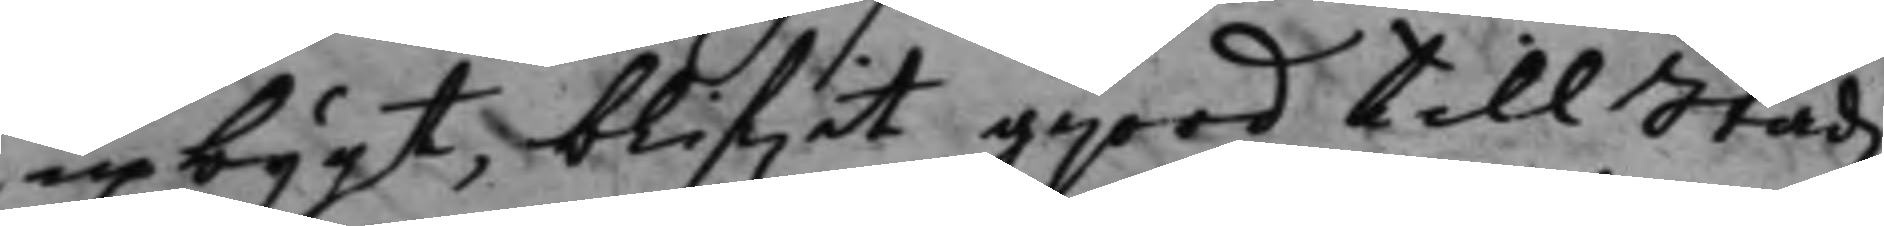upbygt, blifwit gjord till Stadz¬
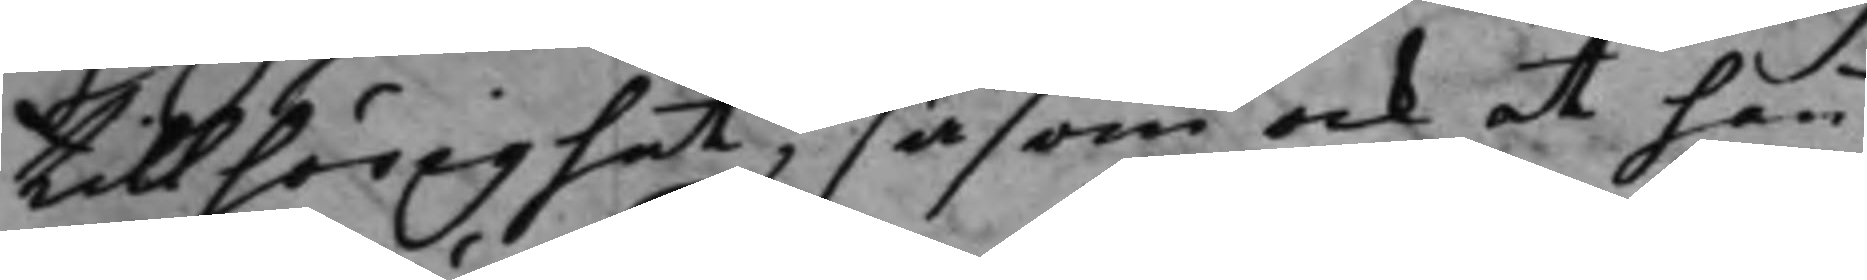tillhörighet, såsom ock at han
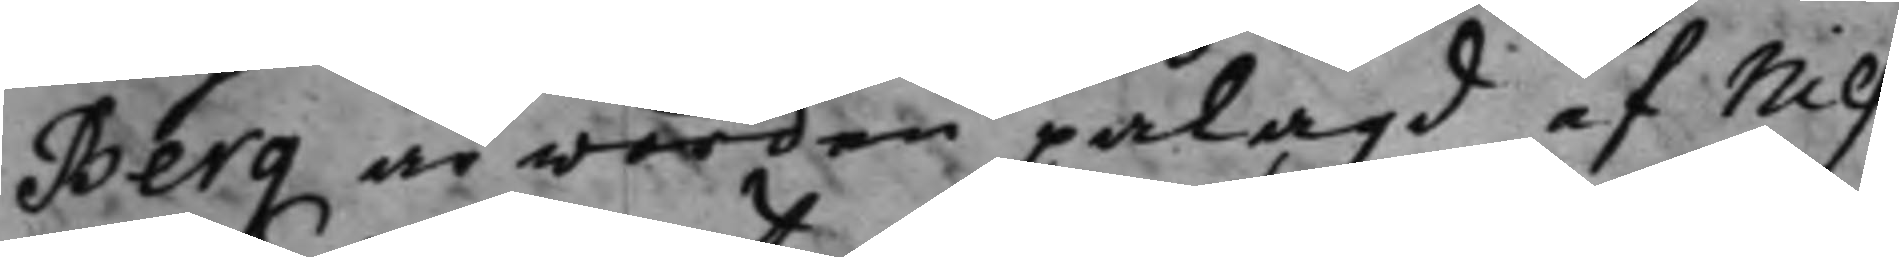Berg är worden pålagd, af Nils
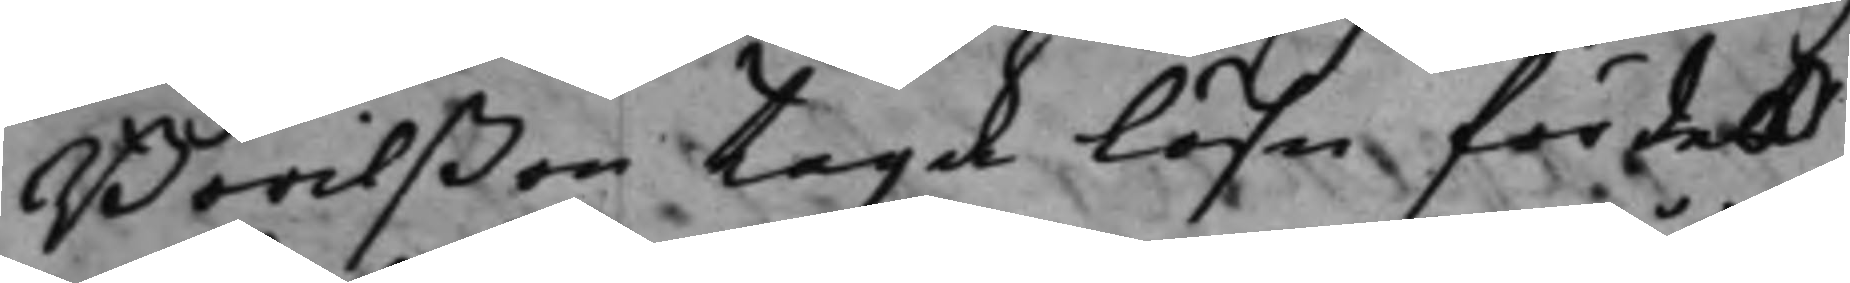Börilßon taga Lösn för deß
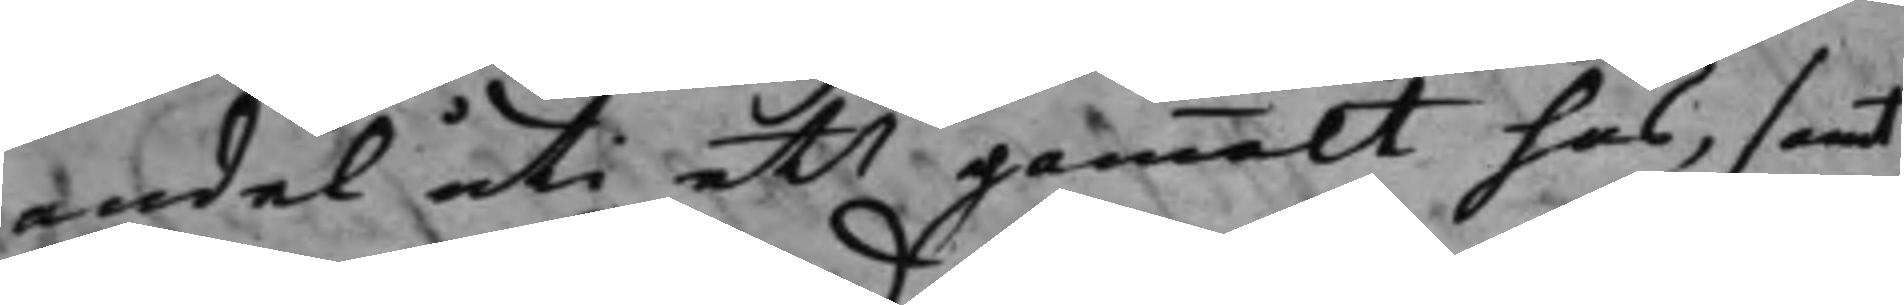andel uti ett gammalt hus, samt
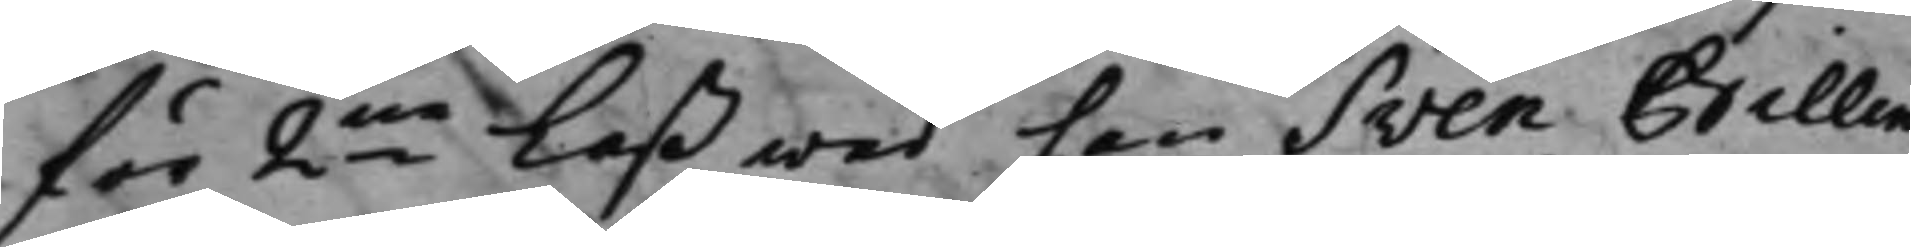för 2ne laß wed han Sven Billing
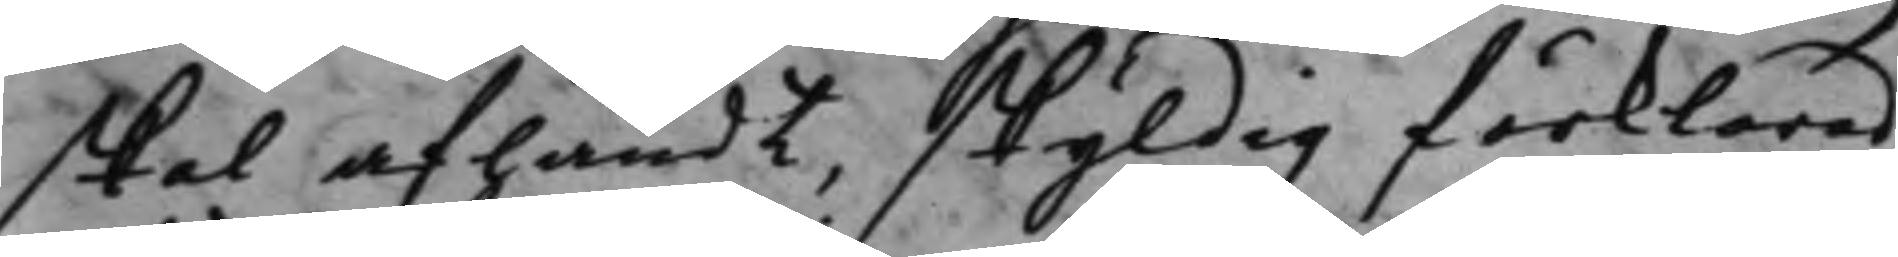skal afhändt, skyldig förklarad,
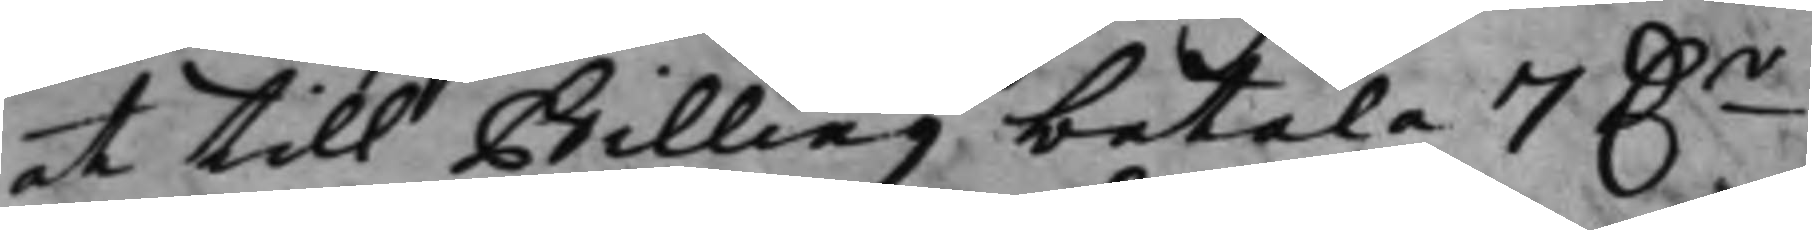at till Billing betala 7 D.r
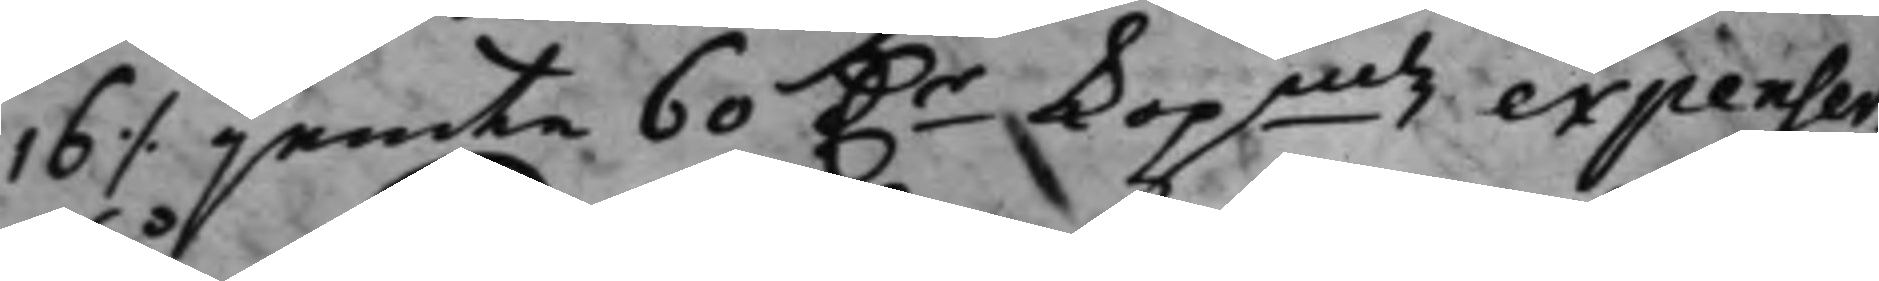16 ./. jemte 60 D.r Kopmtz expenser.
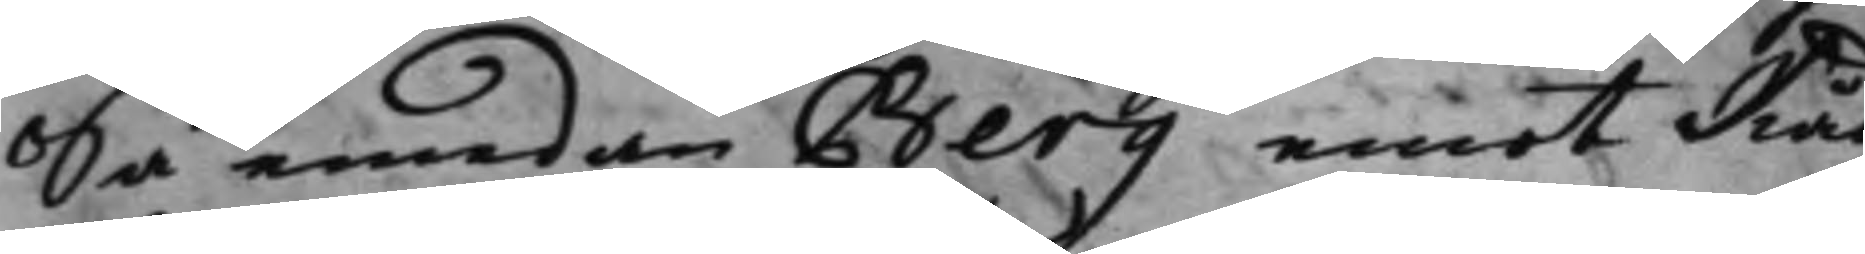Så, emedan Berg emot Råd¬
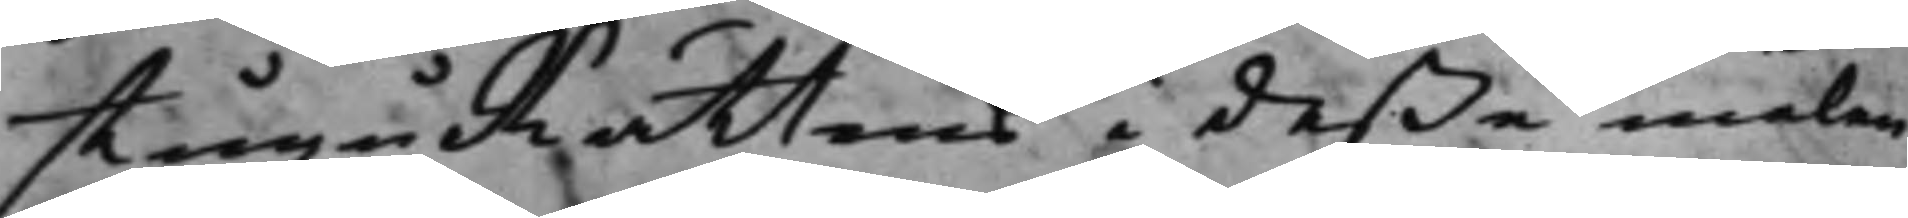stuguRättens i deße målen
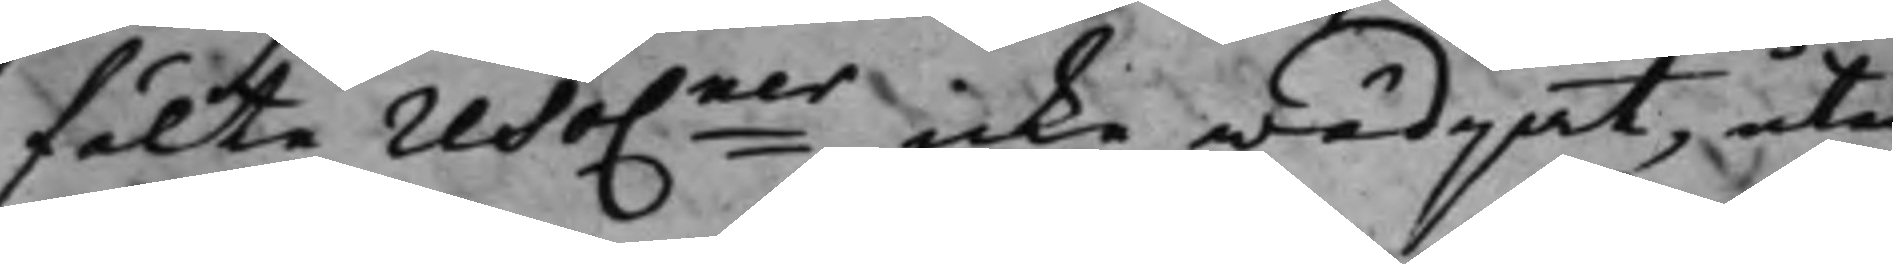fälte reso.ner icke wädjat, utan
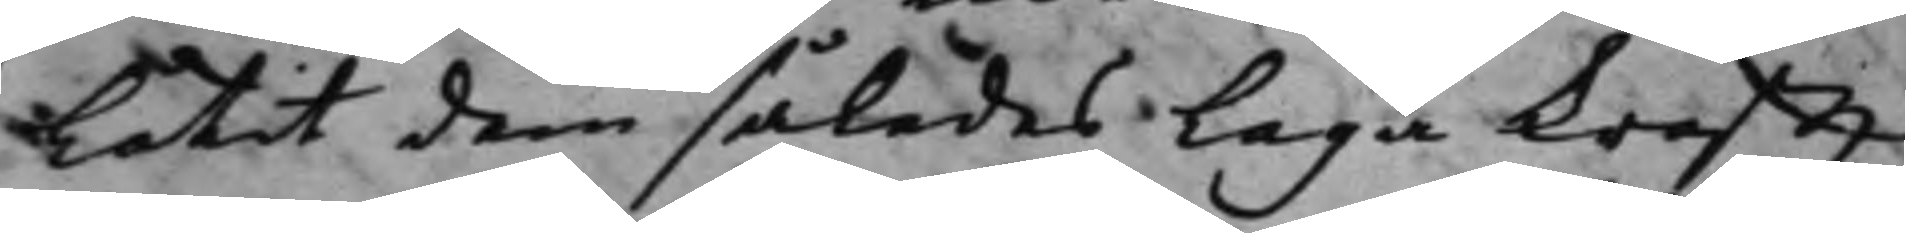Låtit dem således Laga krafft
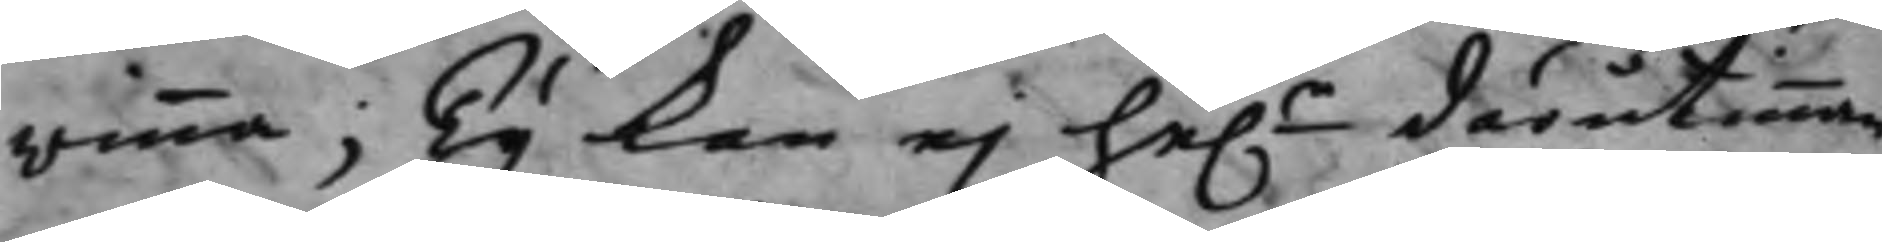winna; Ty kan ej he.r därutinnan
